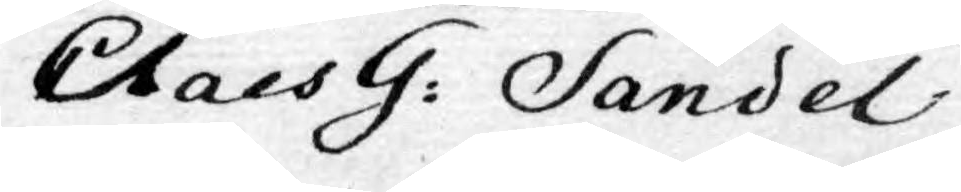Claes G: Sandel
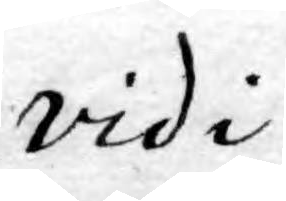vidi
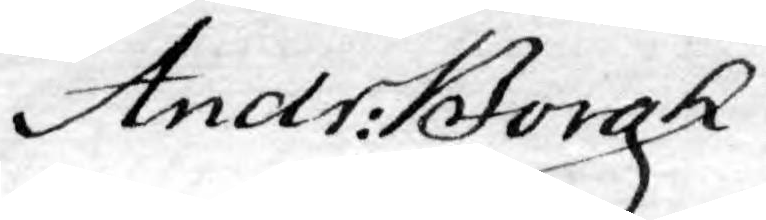Andr: Borgh
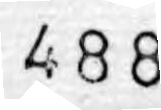488
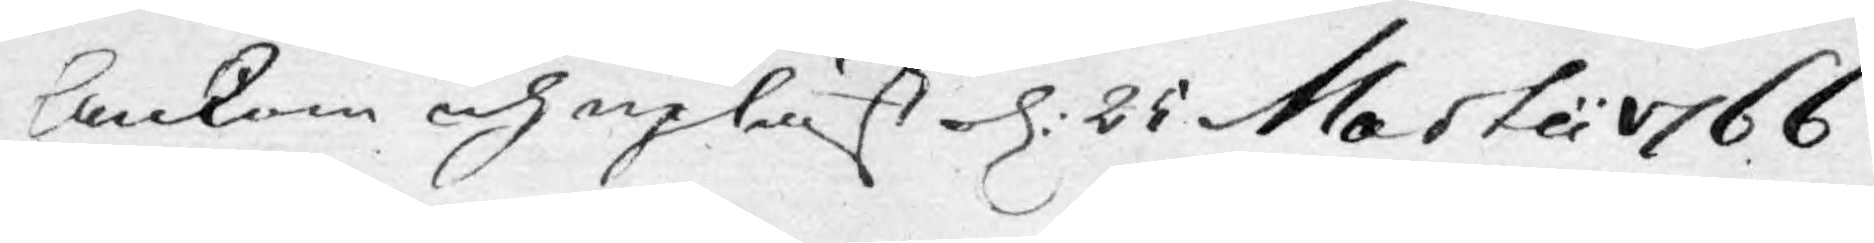Ankom och upläst d: 25 Martii 1766
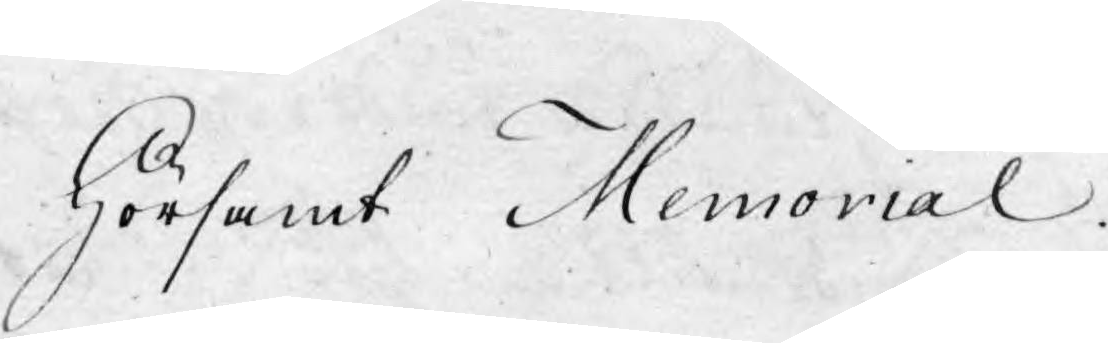Hörsamt Memorial.
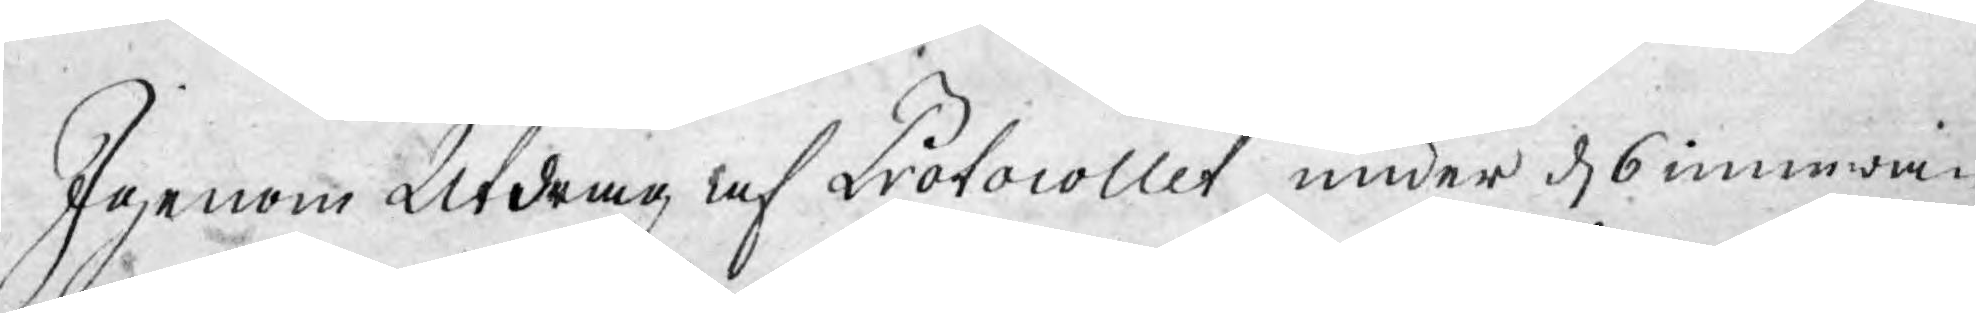Igenom Utdrag af Protocollet under d. 6 innewa¬
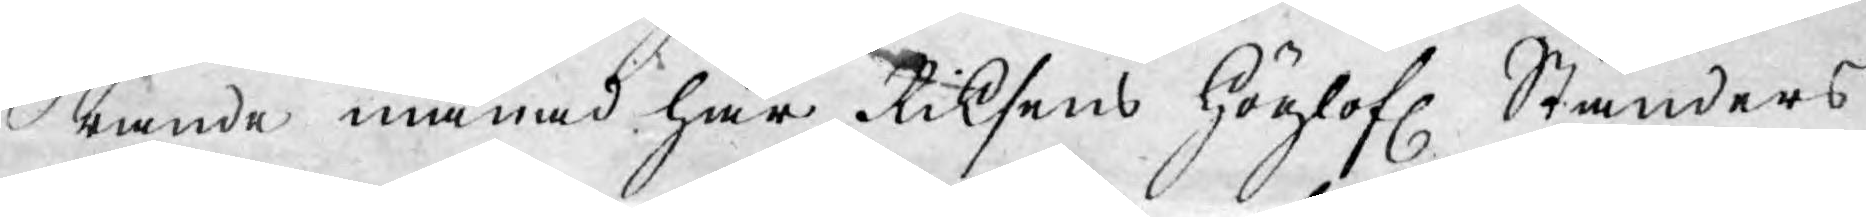rande månad har Riksens Höglofl. Ständers
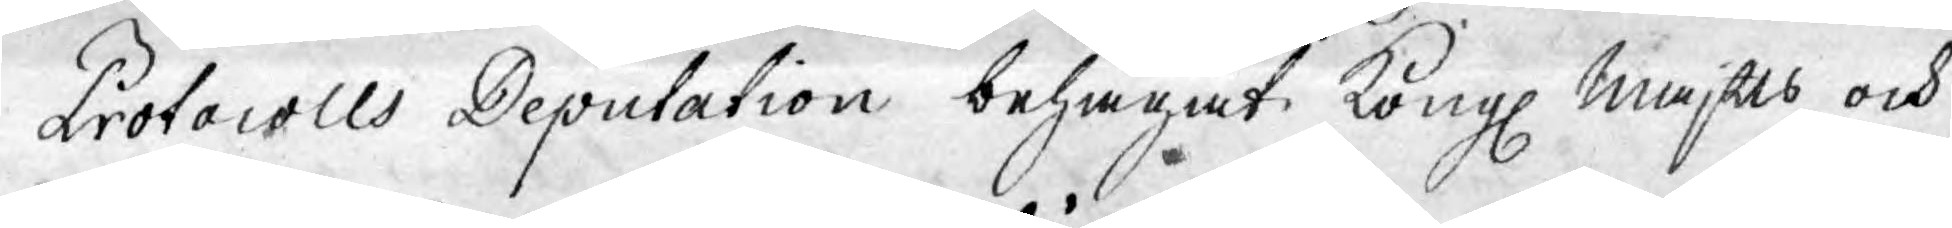Protocolls Deputation behagat Kongl. Maj:ts och
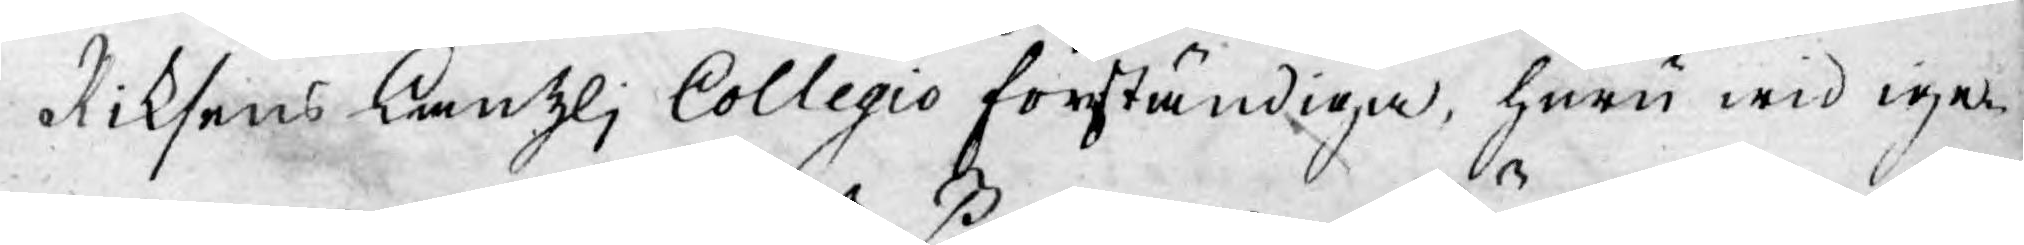Riksens Kanzli Collegio förständiga, huru wid ige¬
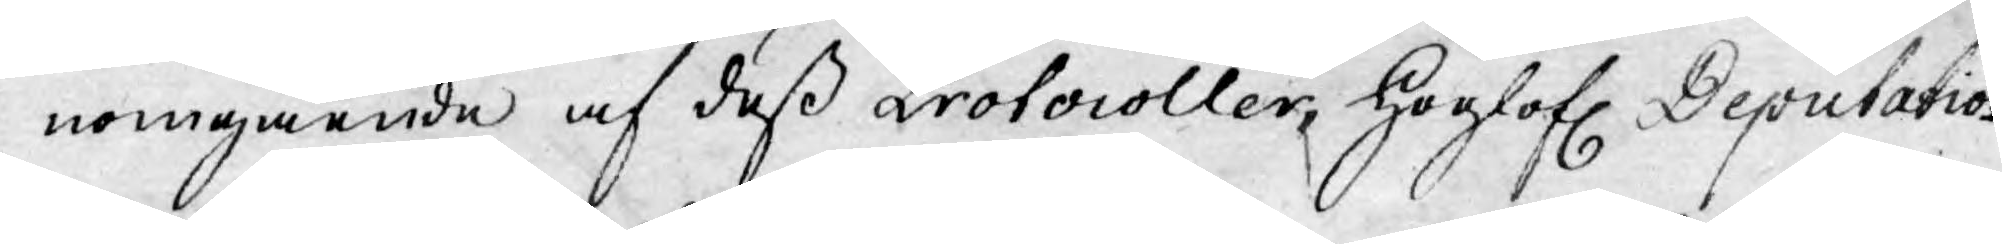nomgående af deß Protocoller, Höglofl. Deputatio¬
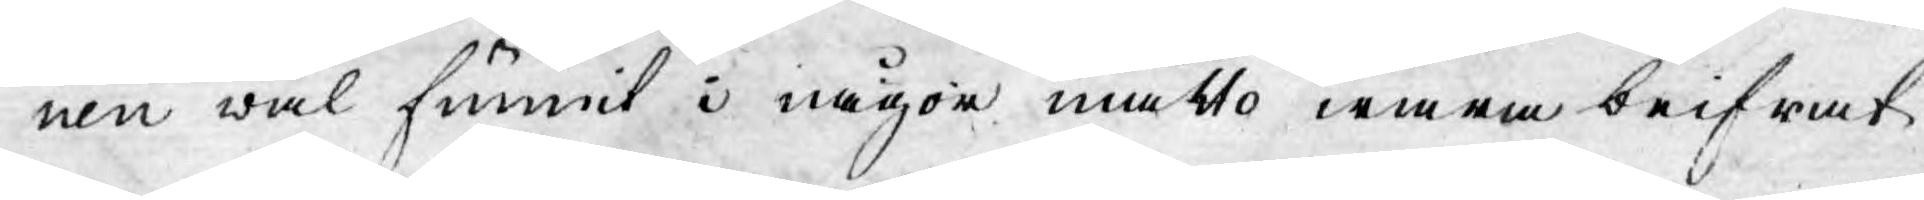nen wäl funnit i någon måtto wara beifrat
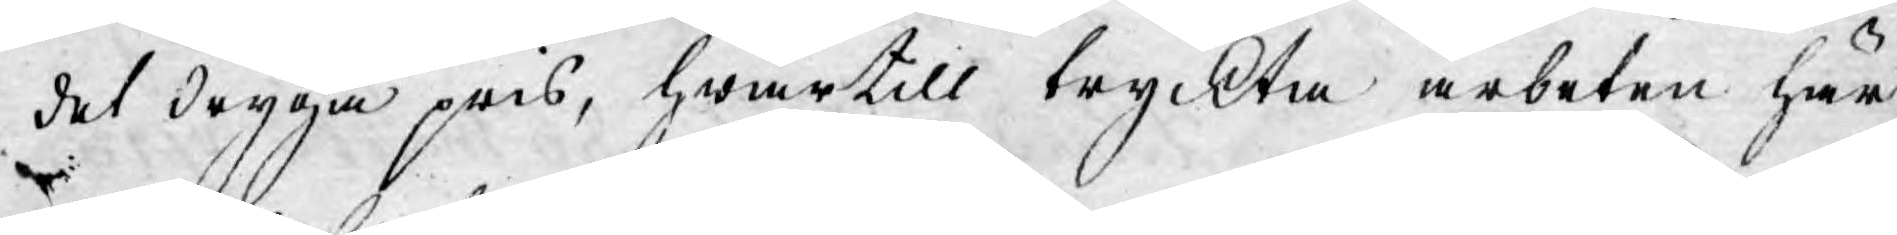det dryga pris, hwartill tryckta arbeten här
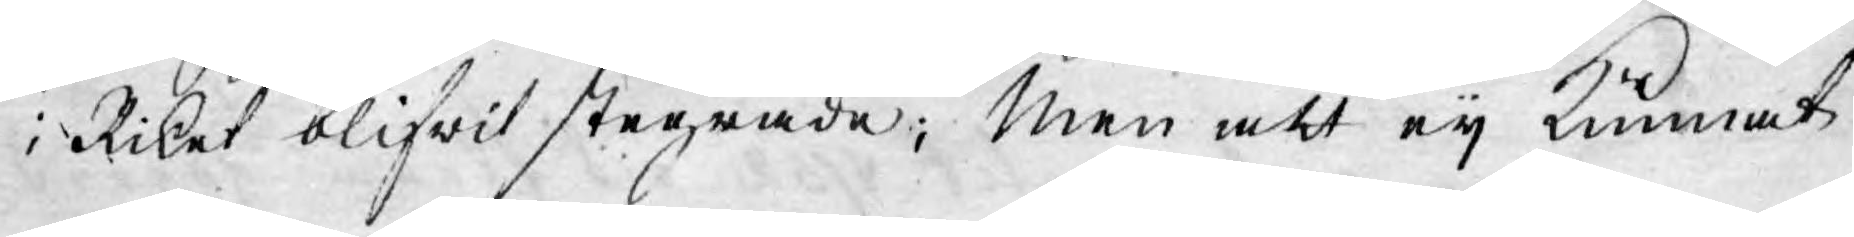i Riket blifwit stegrade; men att eij kunnat
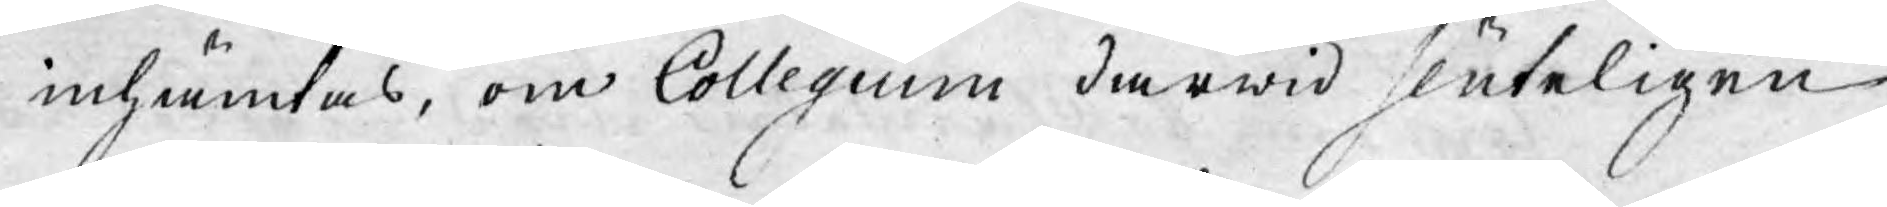inhämtas, om Collegium därwid sluteligen
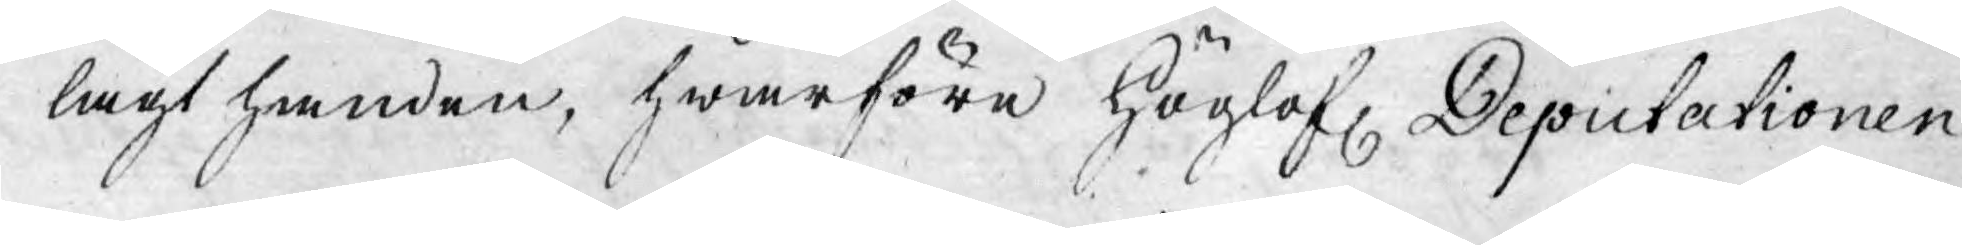lagt handen, hwarföre Höglofl. Deputationen
